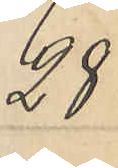28
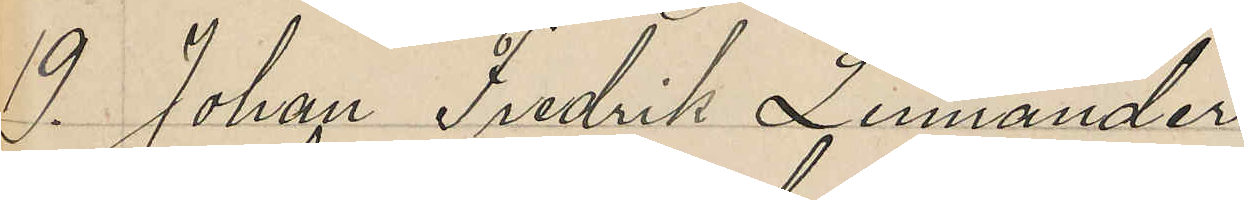19. Johan Fredrik Linnander
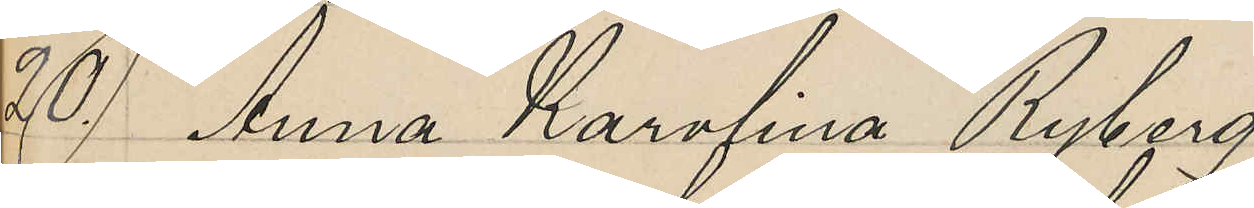20. Anna Karolina Ryberg
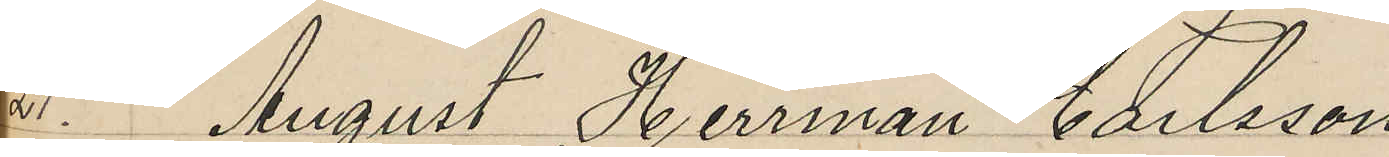21. August Herrman Carlsson
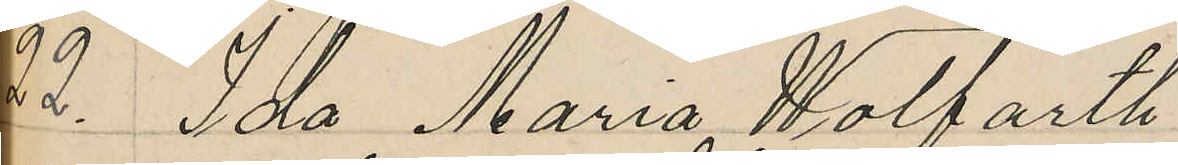22. Ida Maria Wolfarth
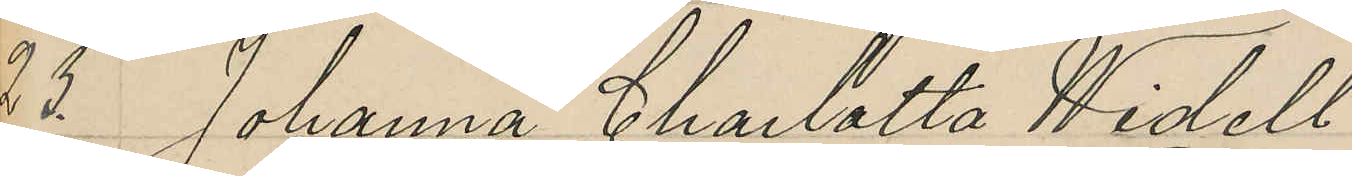23. Johanna Charlotta Widell
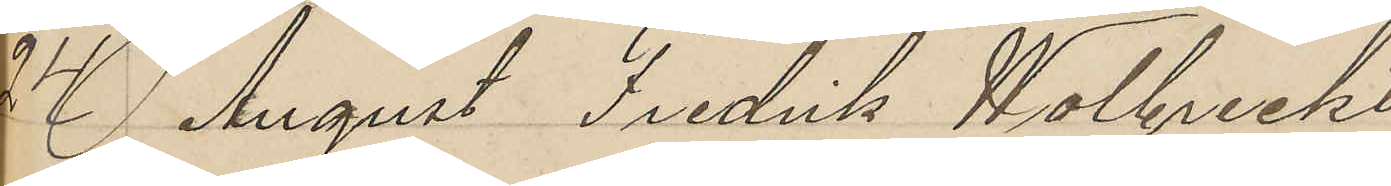24 August Fredrik Wolbreckt
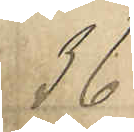36
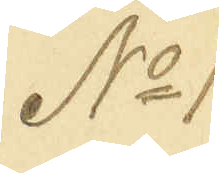No 1
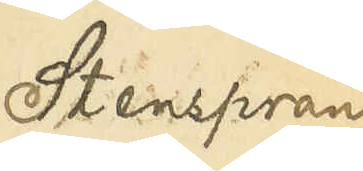Stensprän¬
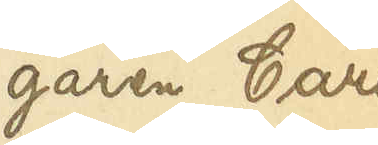garen Carl
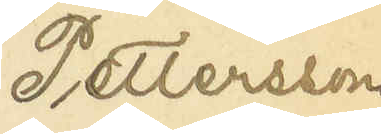Pettersson
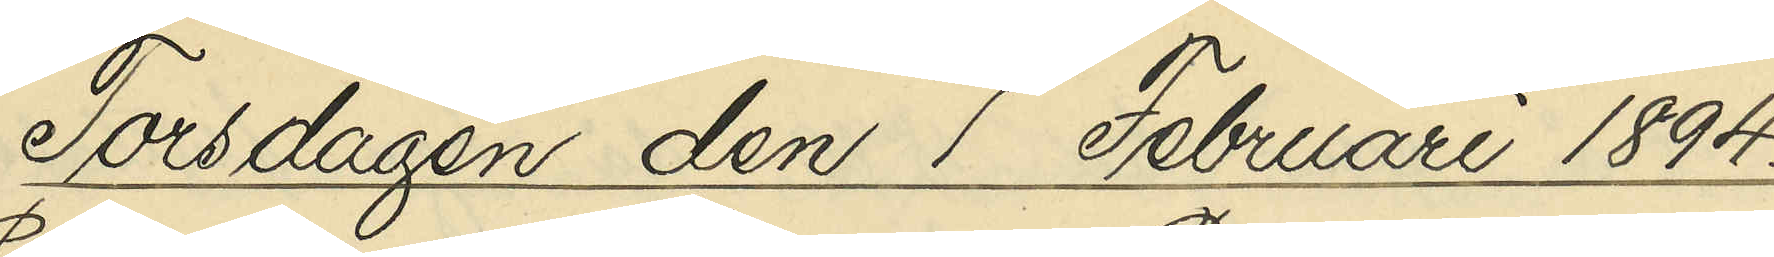Torsdagen den 1 Februari 1894.
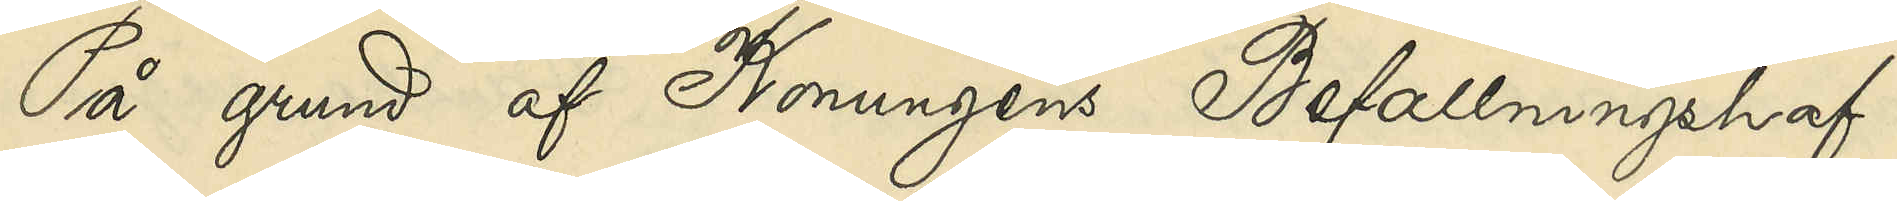På grund af Konungens Befallningshaf¬
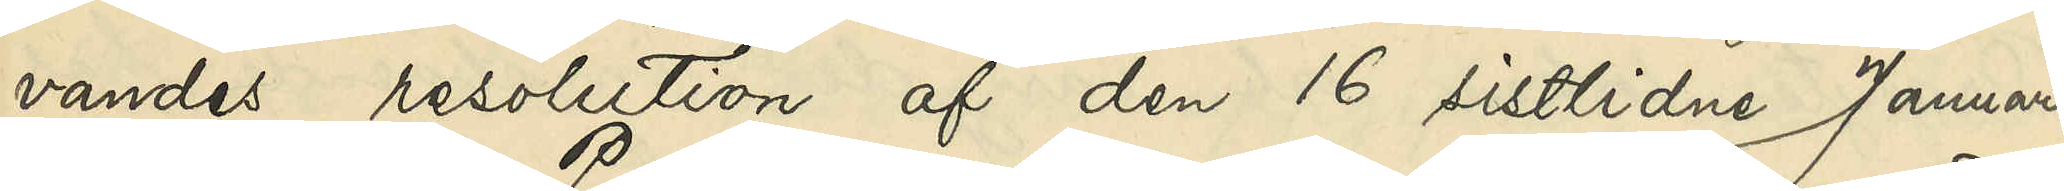vandes resolution af den 16 sistlidne Januari,
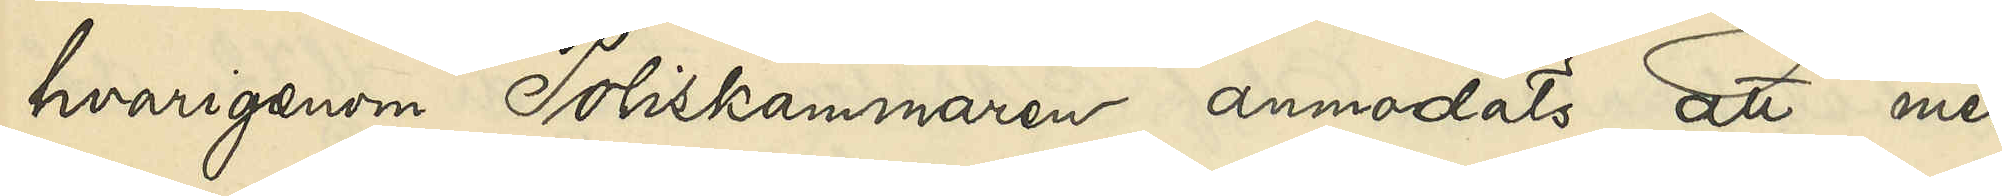hvarigenom Poliskammaren anmodats att med¬
